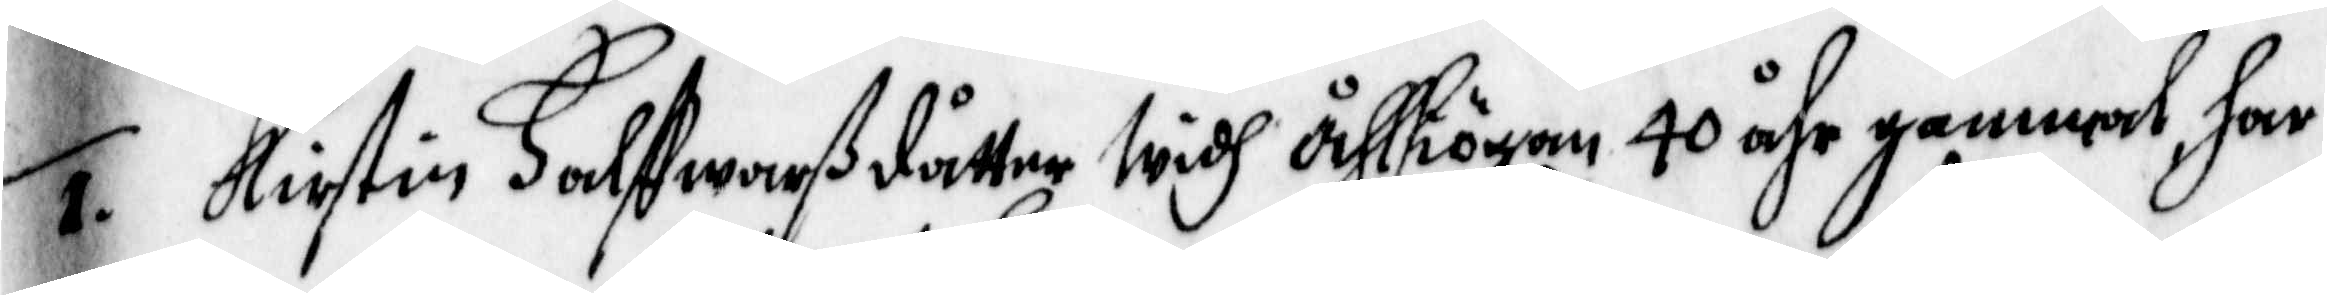1. Kirstin Halffwarßdåtter widh Åhlhögen, 40 åhr gammal, har
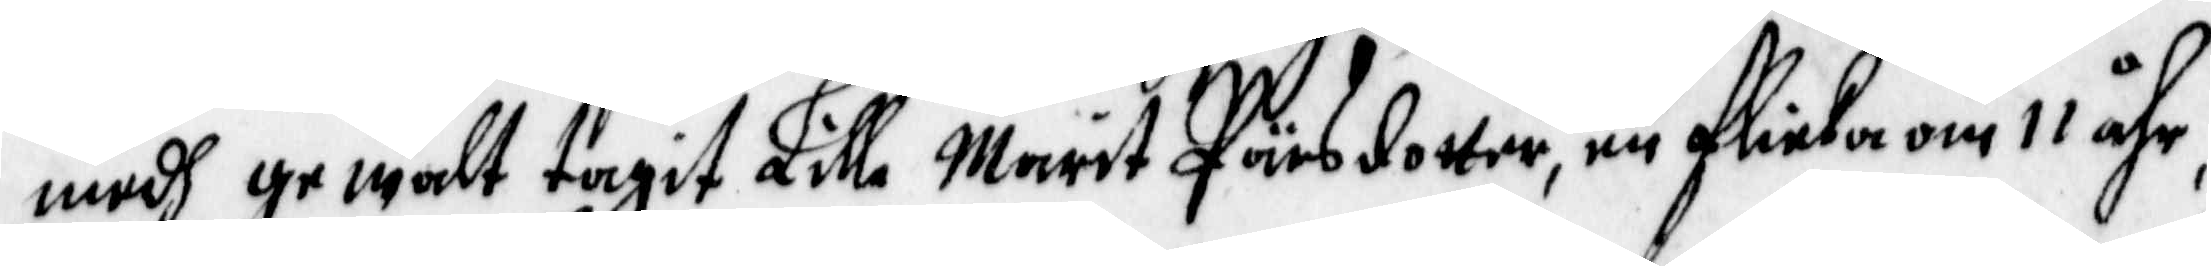medh yr walt tagit Lille Marit Pärsdotter, en flicka om 11 åhr,
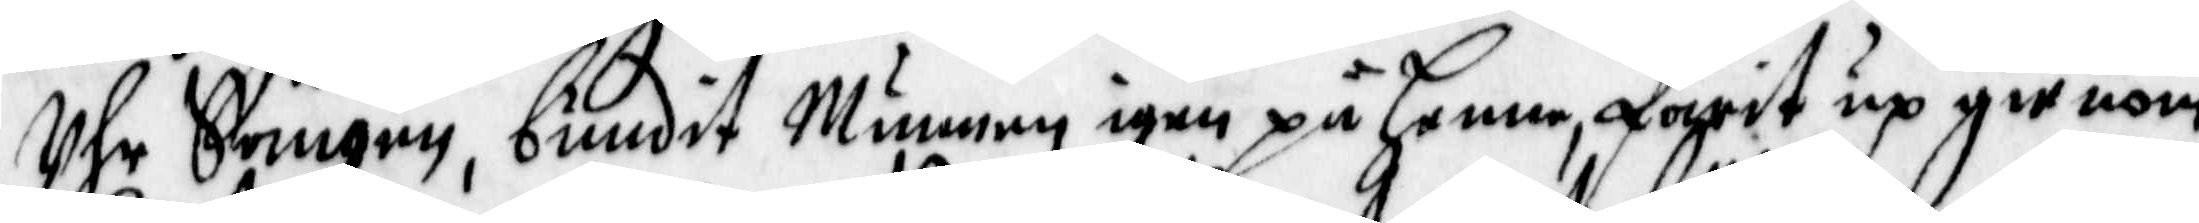Uhr Sängen, bundit Munnen igen på Henne, farit up gienom
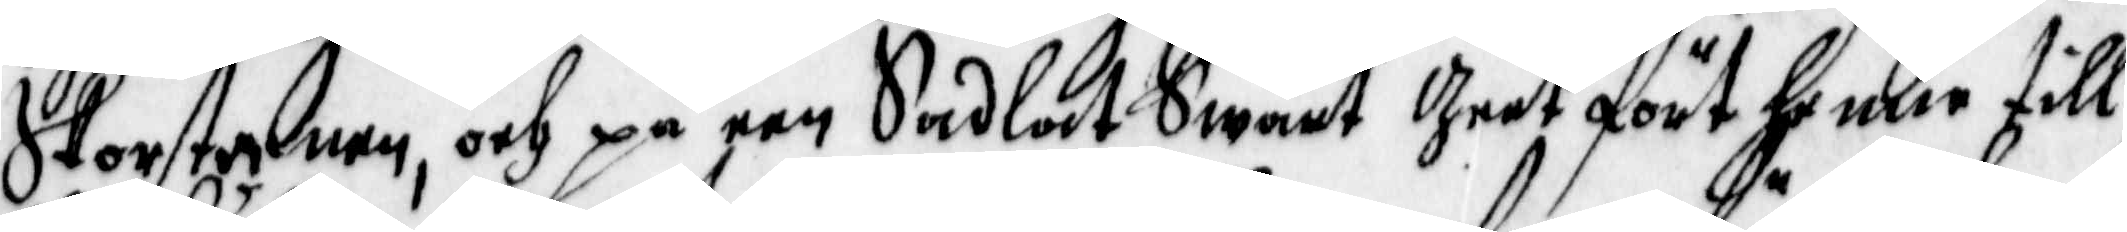Skorstenen, och på een Sadlat Swart Geet fört henne till
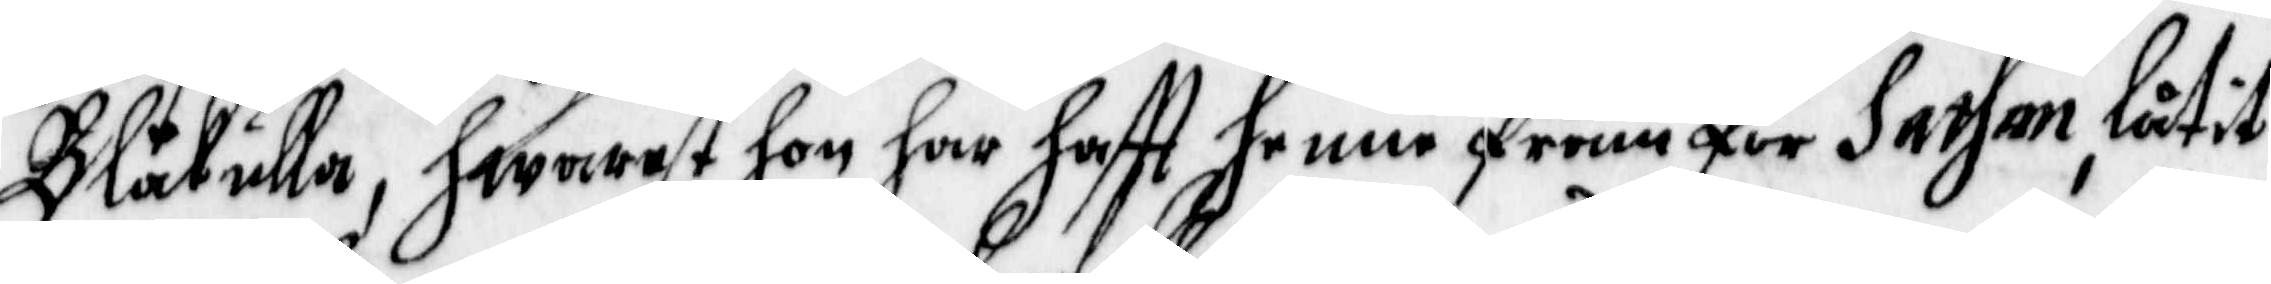Blåkulla, hwarest hon har hafft henne fram för Sathan, låtit
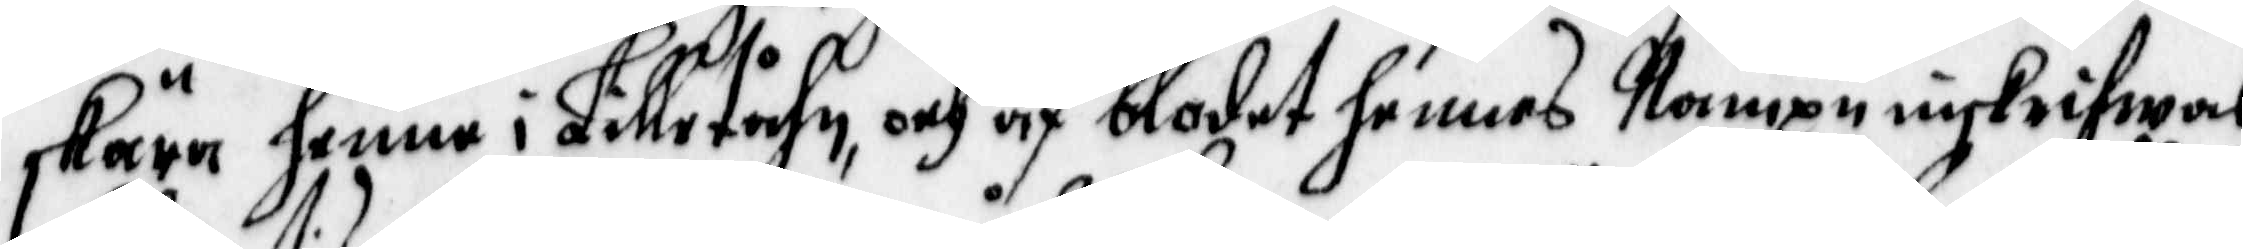skära henne i Lilletåhm, och af blodet hennes Nampn inskrifwas
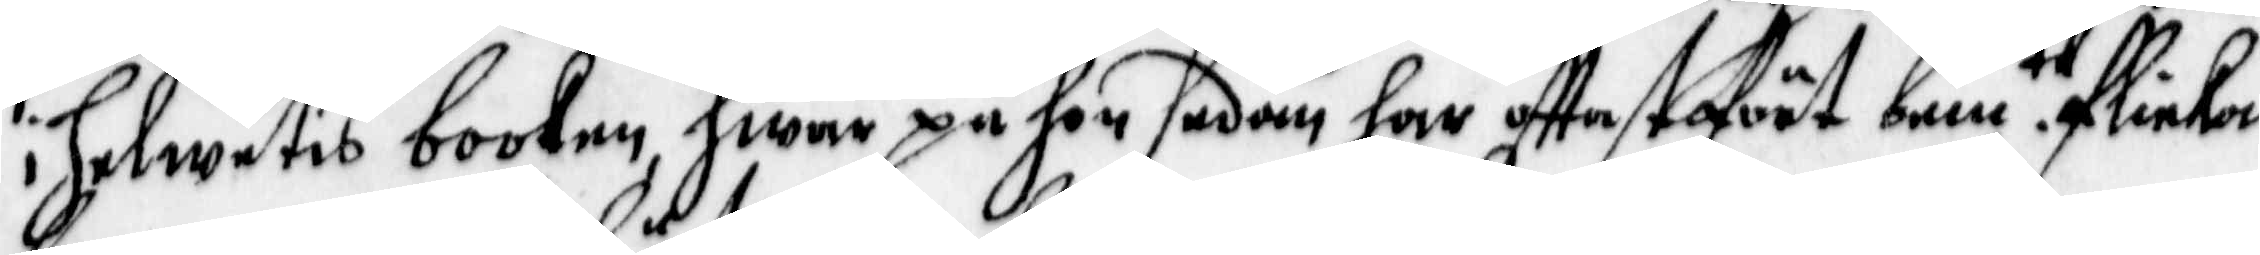i Helwetis boolen, hwar på hon sedan har offtast fört bem te flicka
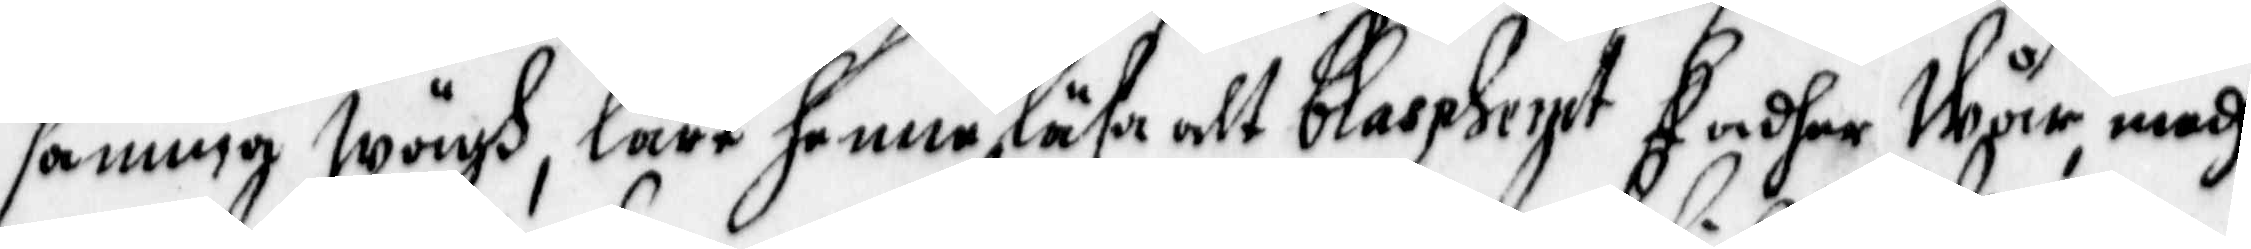samma wägh, lärt henne läsa alt blaspherpt Fader Wår, medh
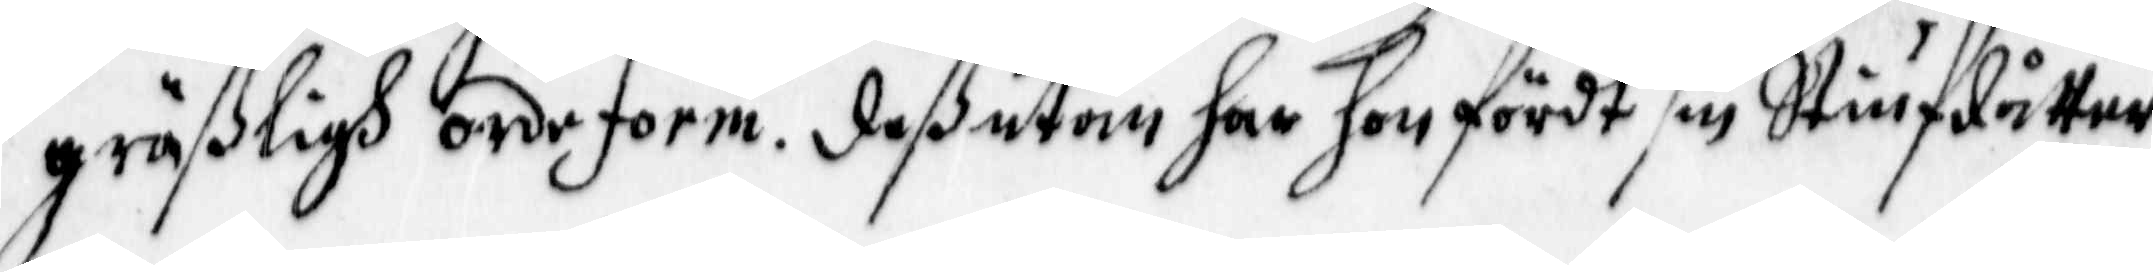gräßligh ordeform. deßutan har hon fördt sin Stiufdåtter
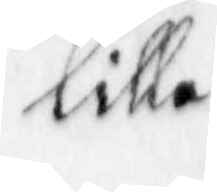lilla
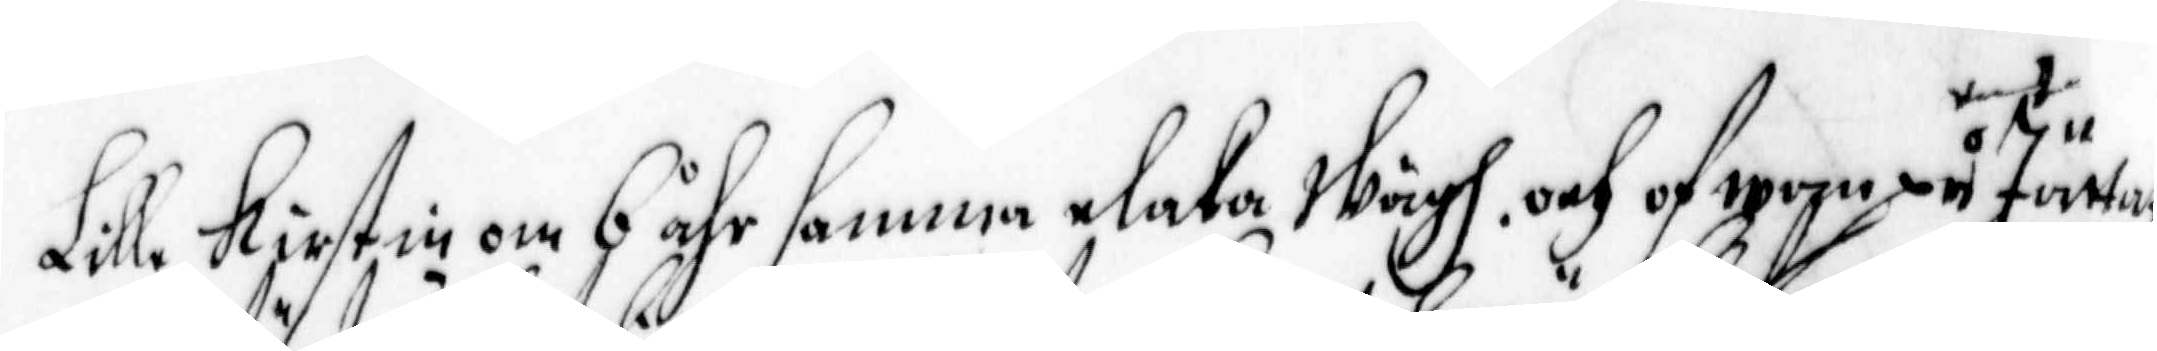Lille Kirstin om 6 åhr samma elaka wägh, och ofwan på Järtat
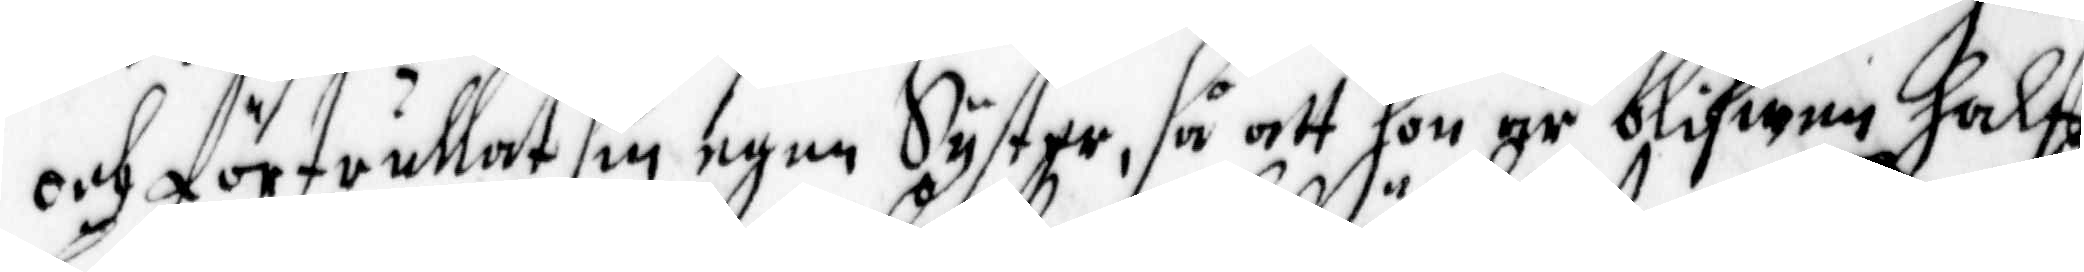och förtrullat sin egen Syster, så att hon är blifwen halfft
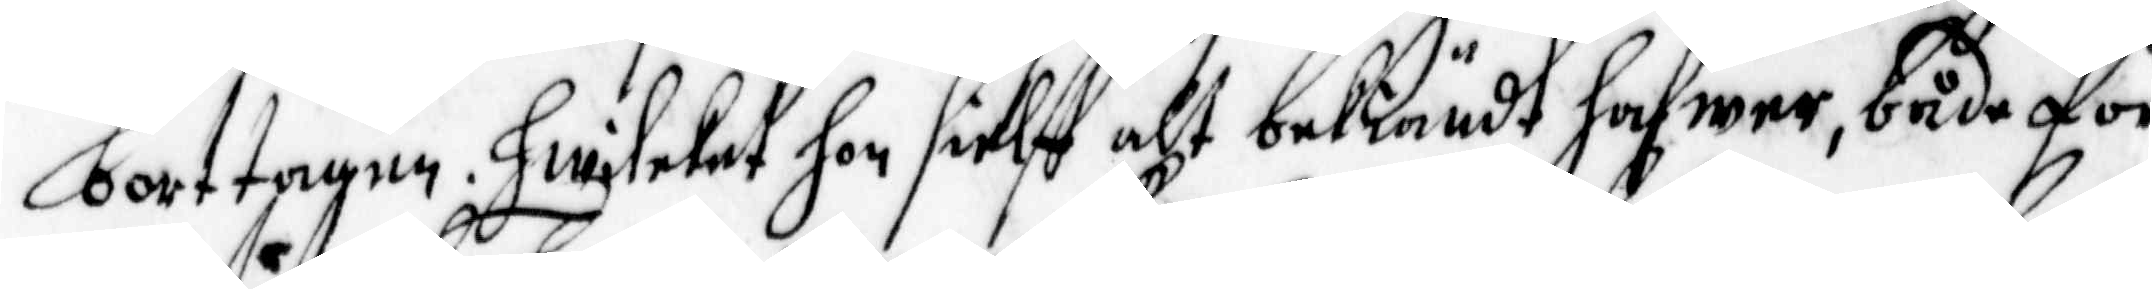borttagen, Hwilket hon sielff alt bekiändt hafwer, både för
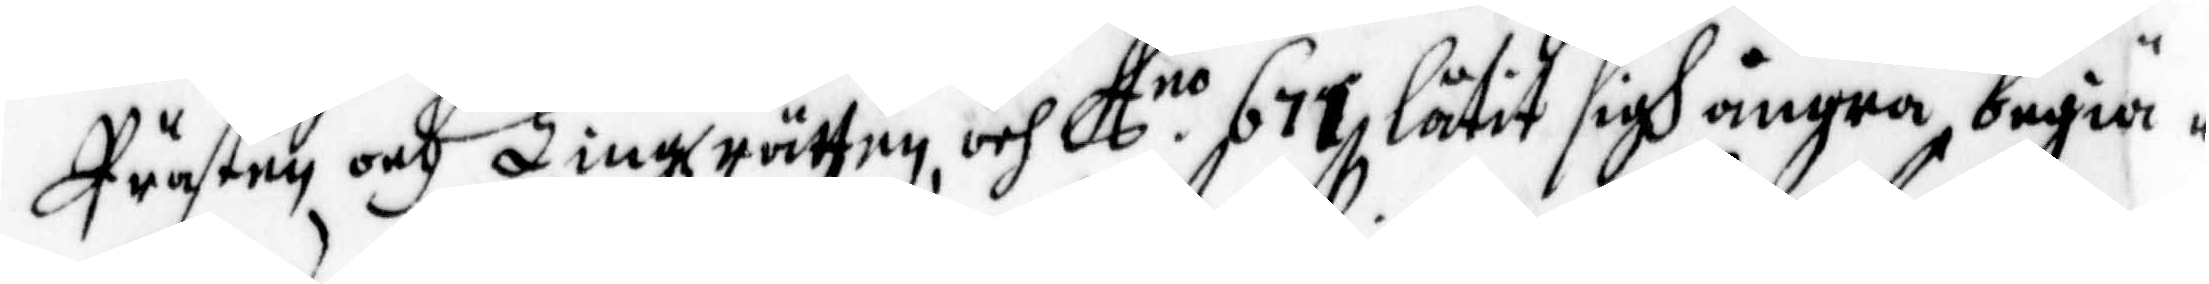Prästen och Tingzrätten, och A. no 671 låtit sigh ångra, begiä¬
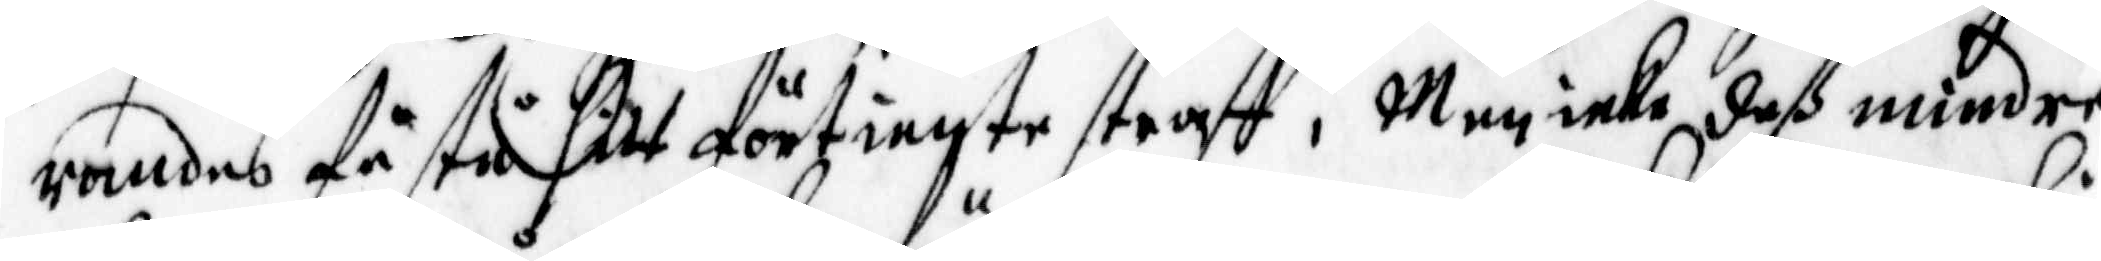randes få stå sitt förtiente straff; Men icke deß mindre
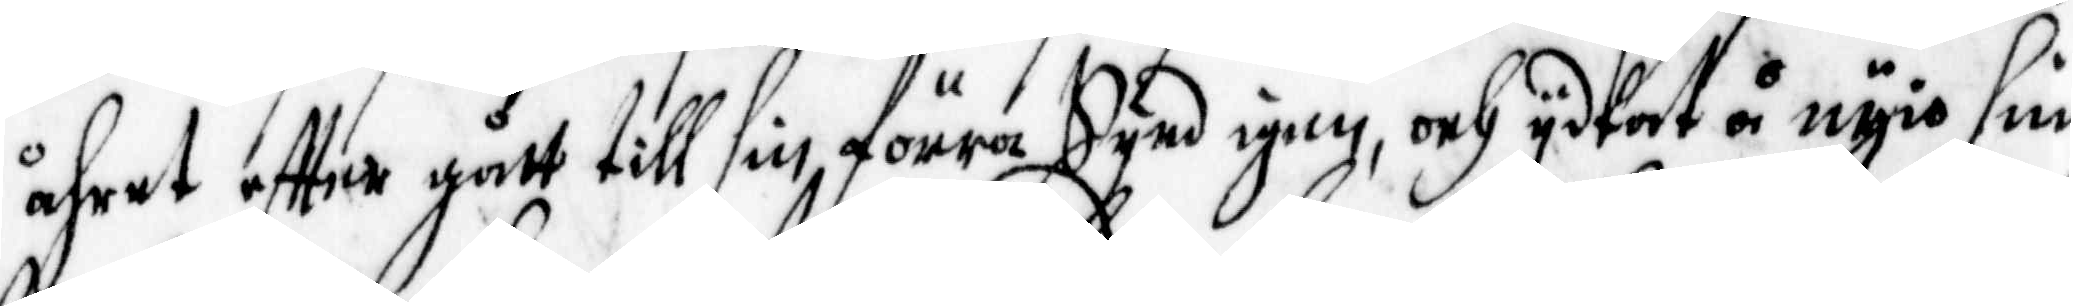åhret effter gått till sin förra Synd igen, och ydkat å nyio sine
